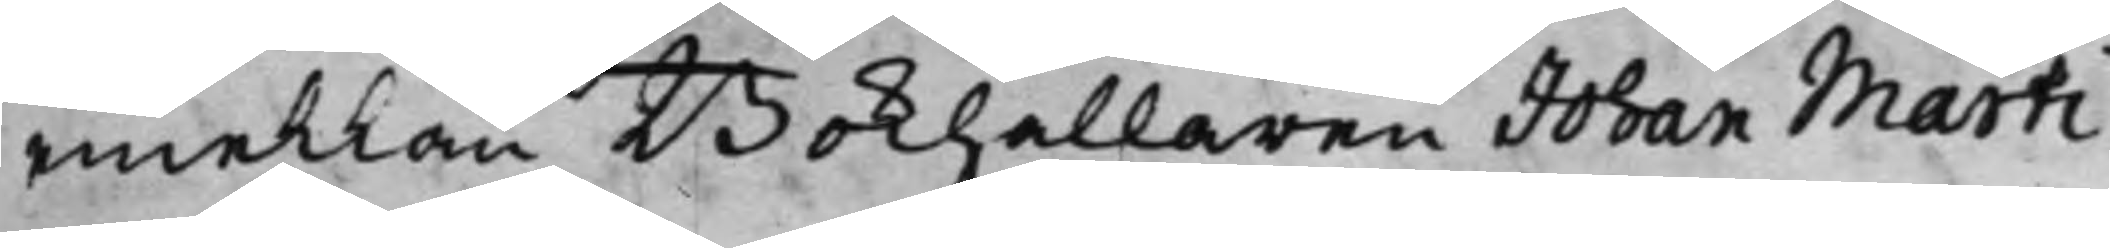emellan Bokhållaren Johan Marti¬
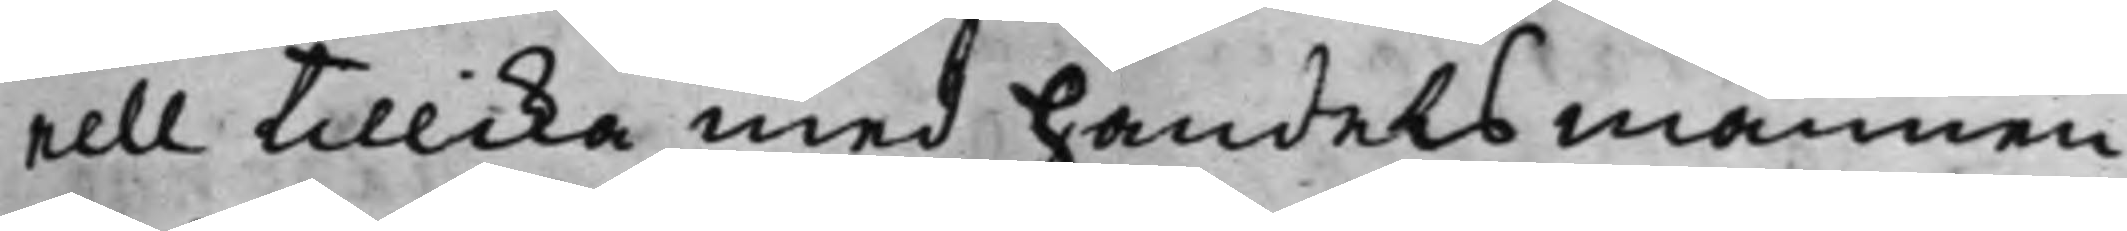nell tillika med handelsmannen
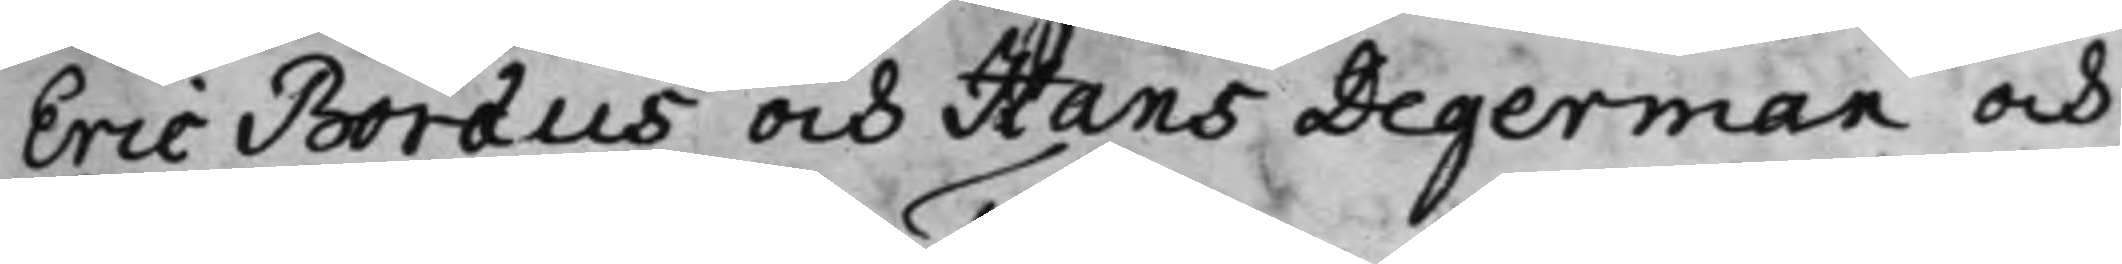Eric Boræus och Hans Degerman och
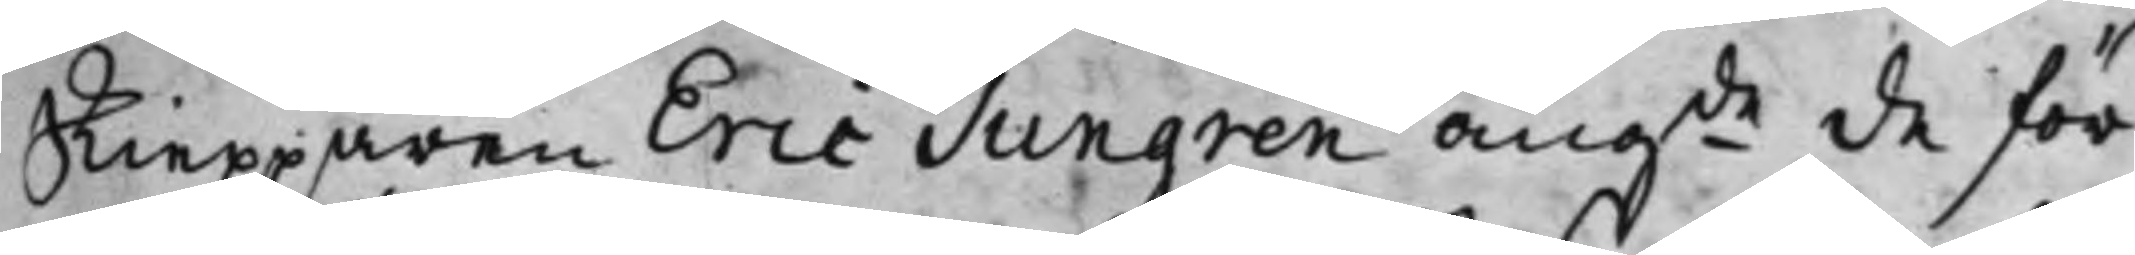skiepparen Eric Tungren, angde de för
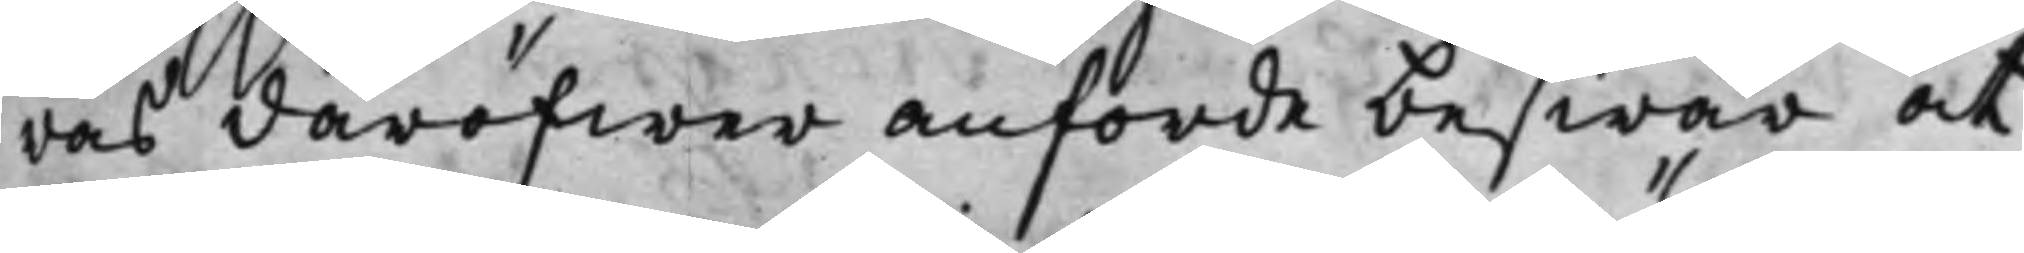ras däröfwer anförde beswär at
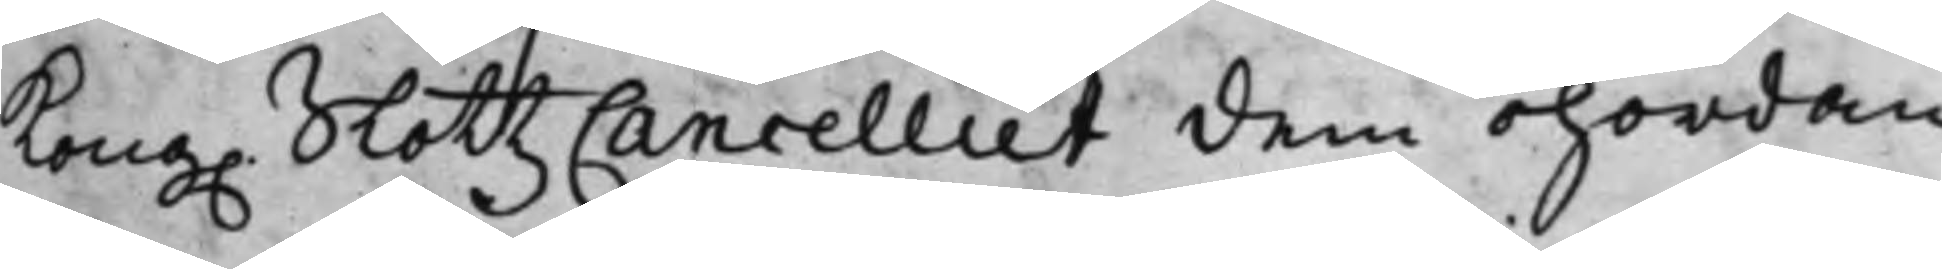Kong. SlottzCancelliet dem ohördan
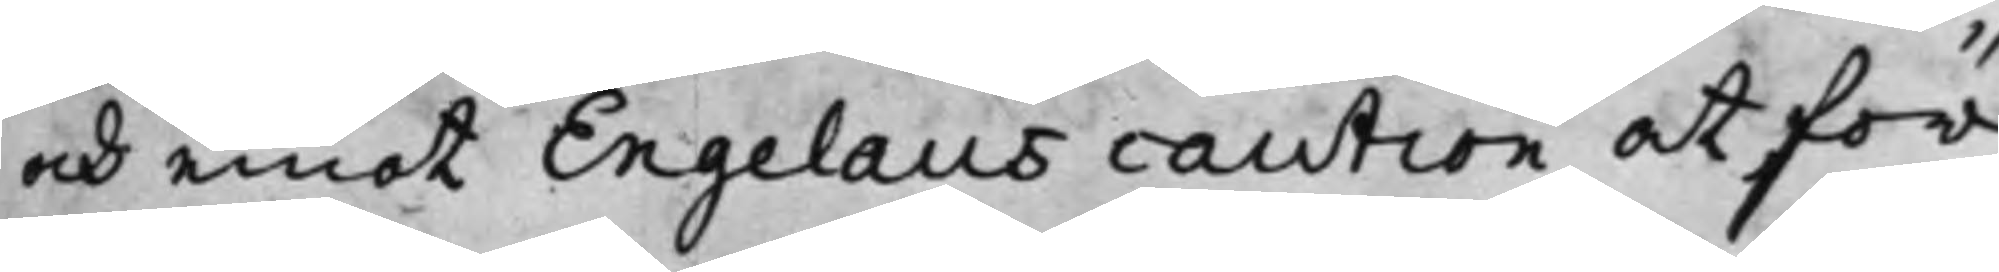och emot Engelaus caution at för
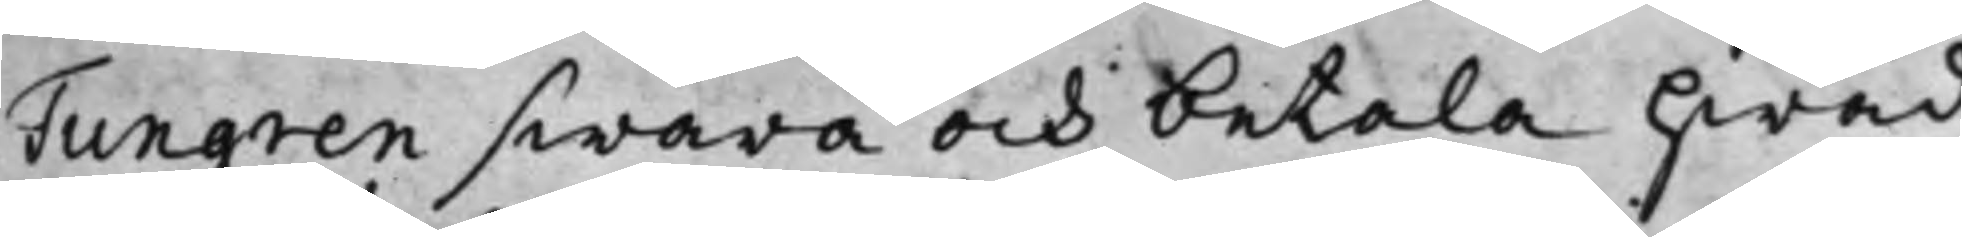Tungren swara och betala hwad
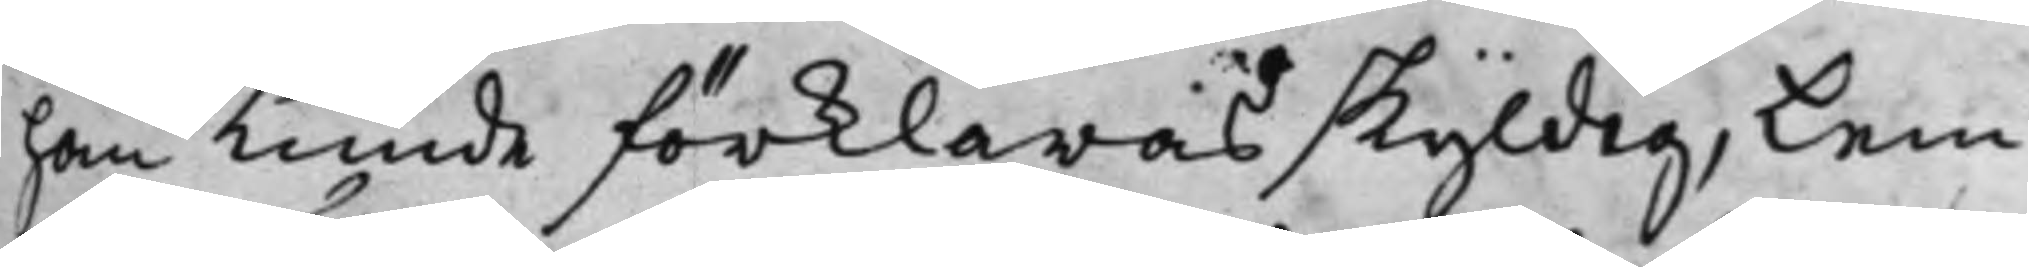han kunde förklaras skyldig, Lem¬
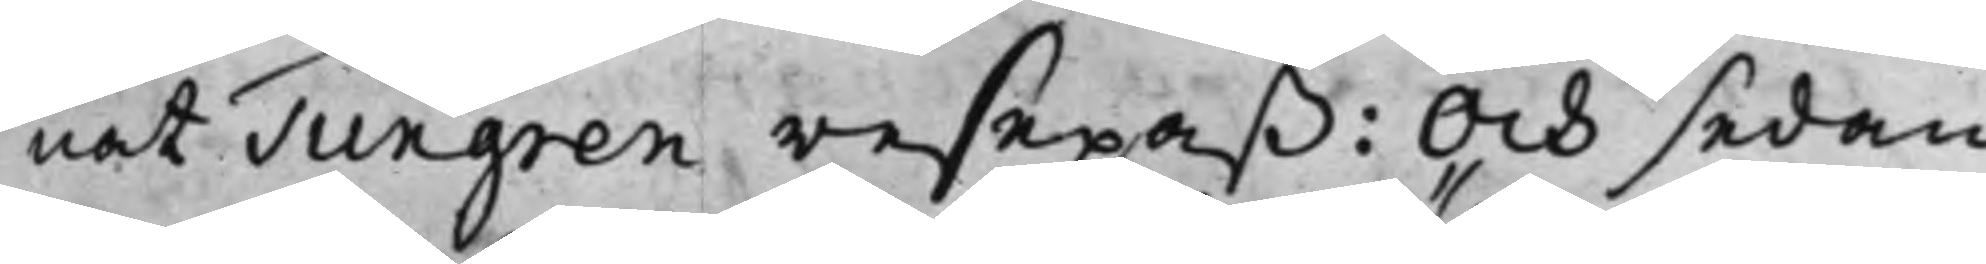nat Tungren resepaß: Och sedan
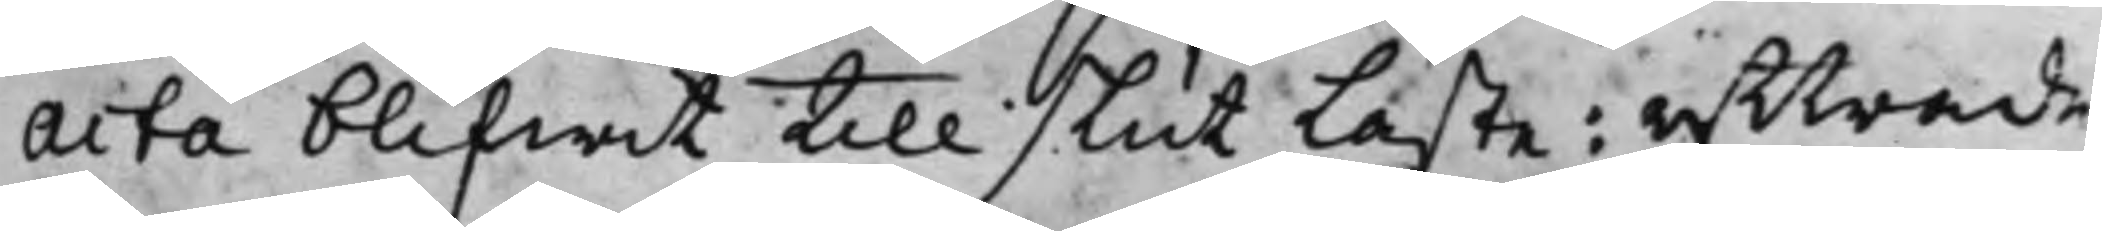Acta blifwit till slut läste: yttrade
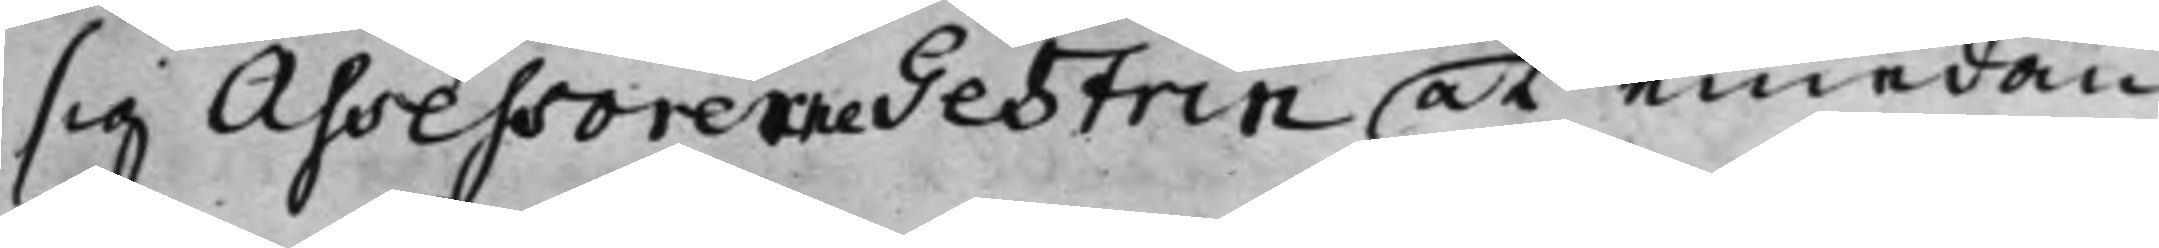sig Assessorerne Gestrin at emedan
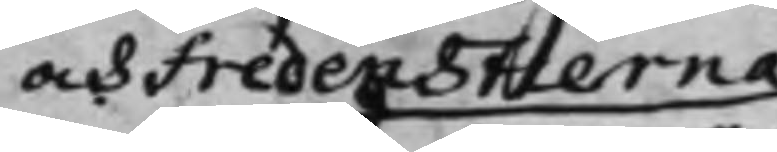och Fredenstierna
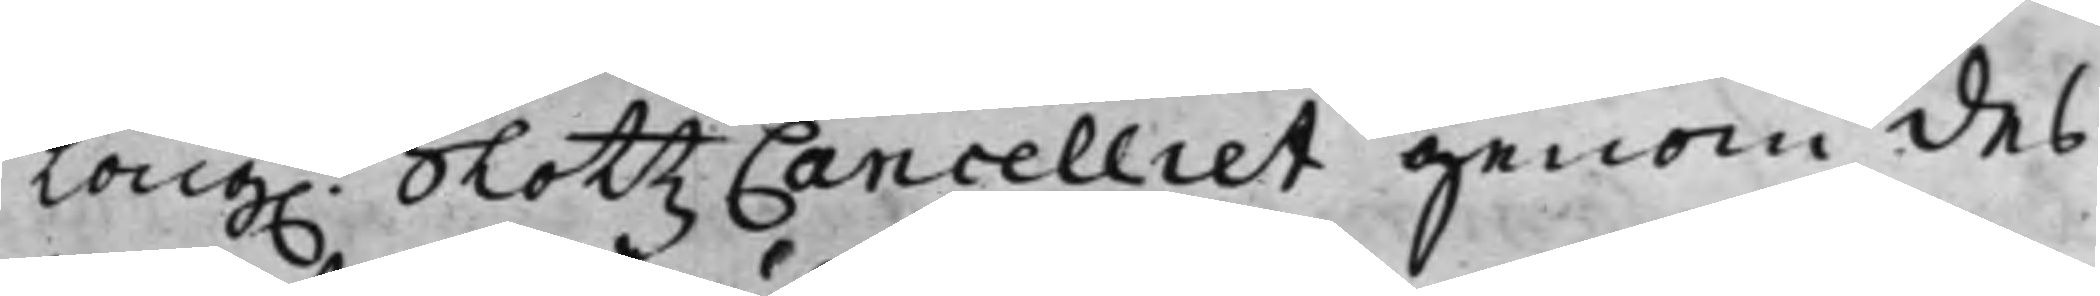Kong. SlottzCancelliet genom des
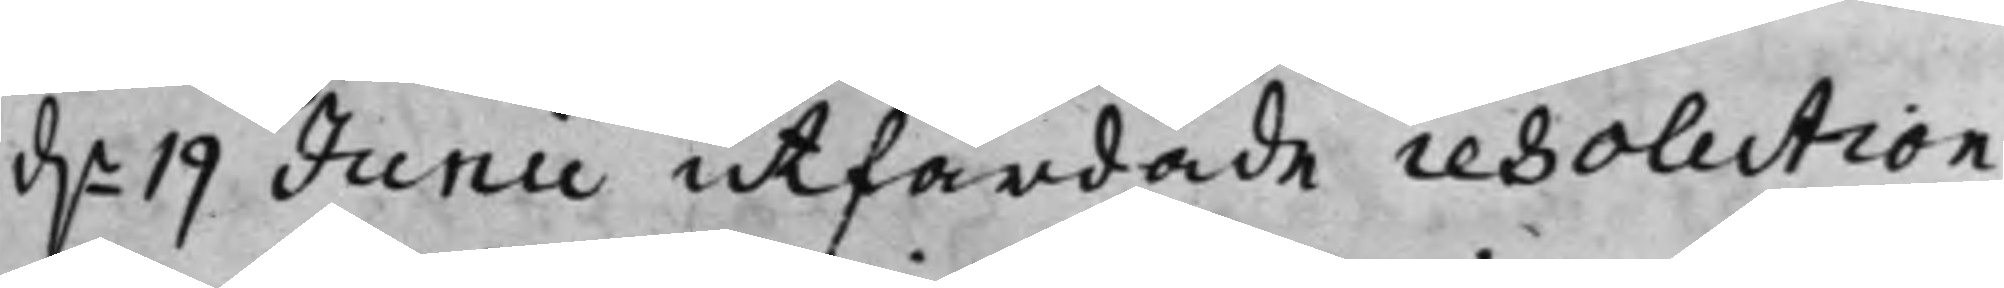d.n 19 Junii utfärdade resolution
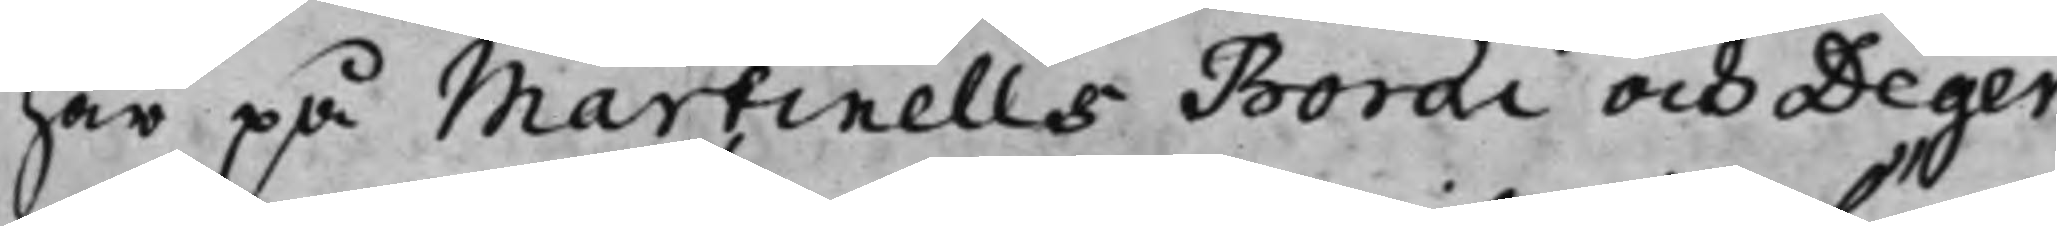har på Martinells Boræi, och Deger¬
